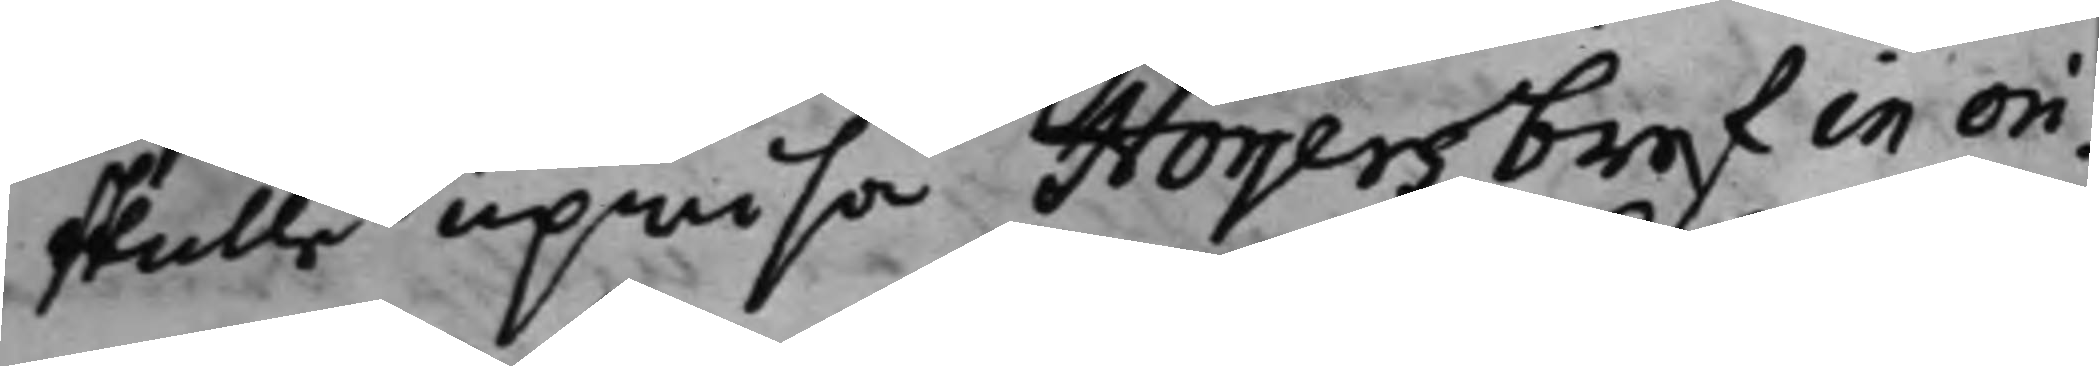skulle upwisa Högers bref in ori¬
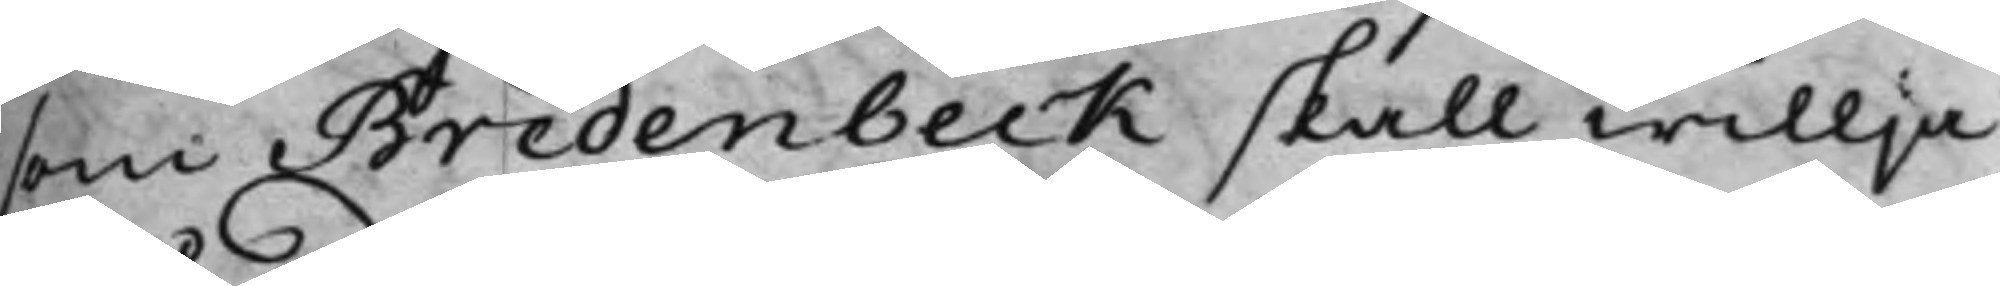som Bredenbeck skall willja
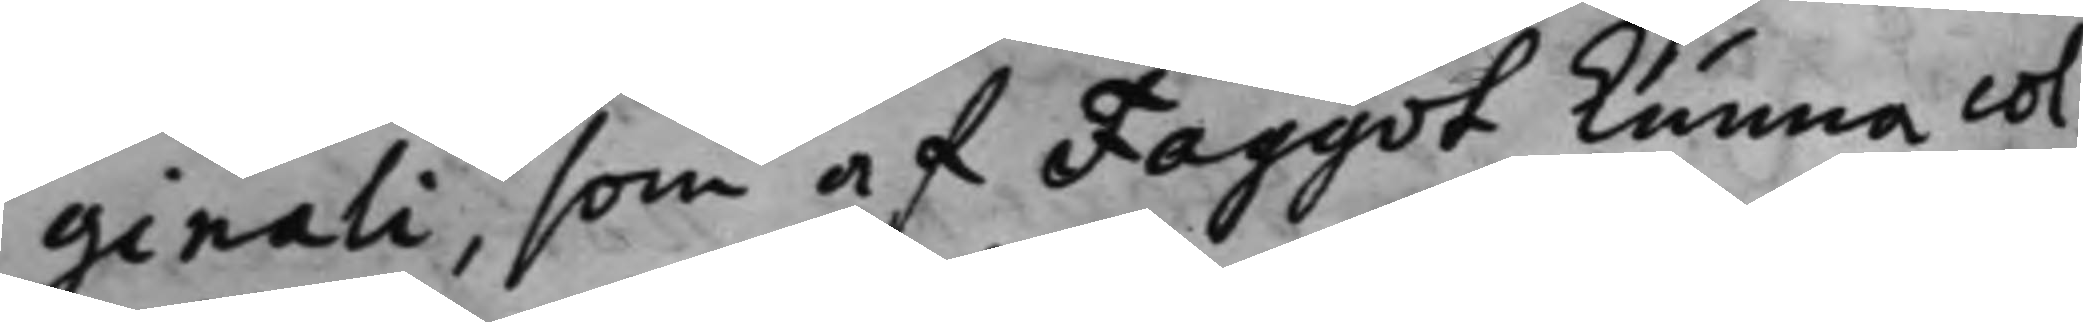ginali, som af Faggot kunna col¬
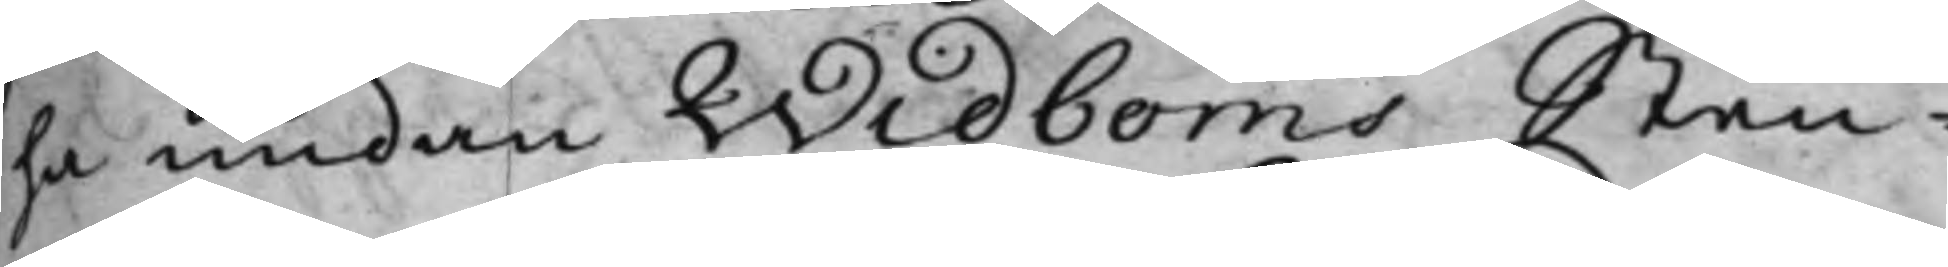la undan Widboms Sten¬
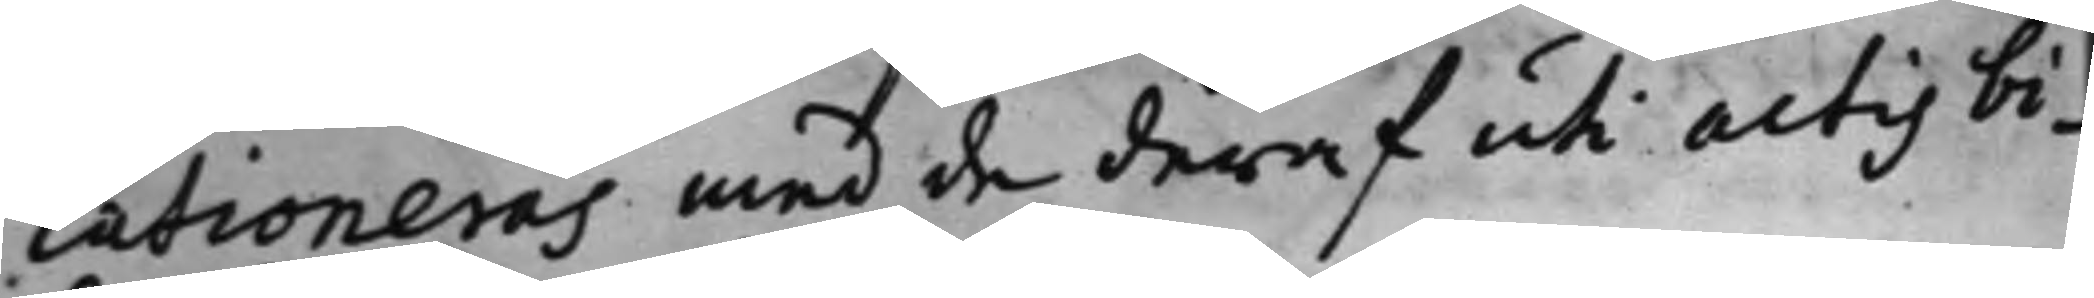lationeras med de deraf uti actis bi¬
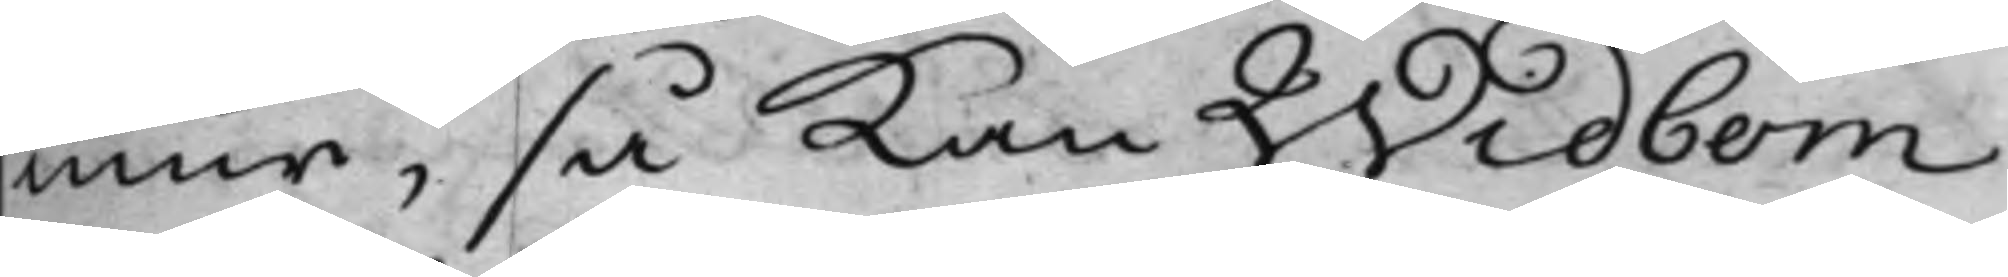mur, så Kan Widbom
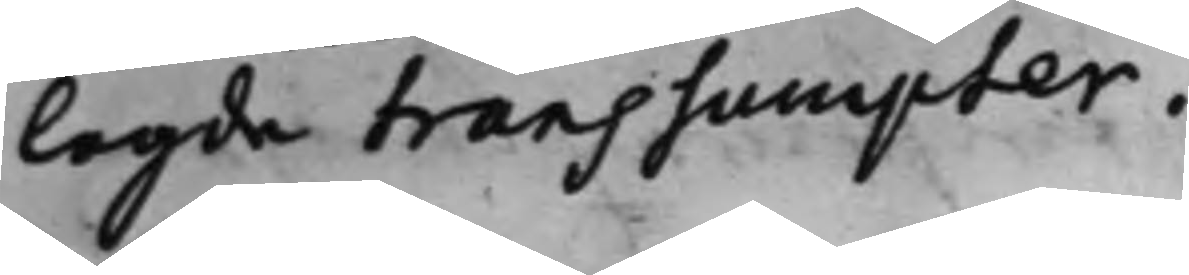lagde transsaupter.
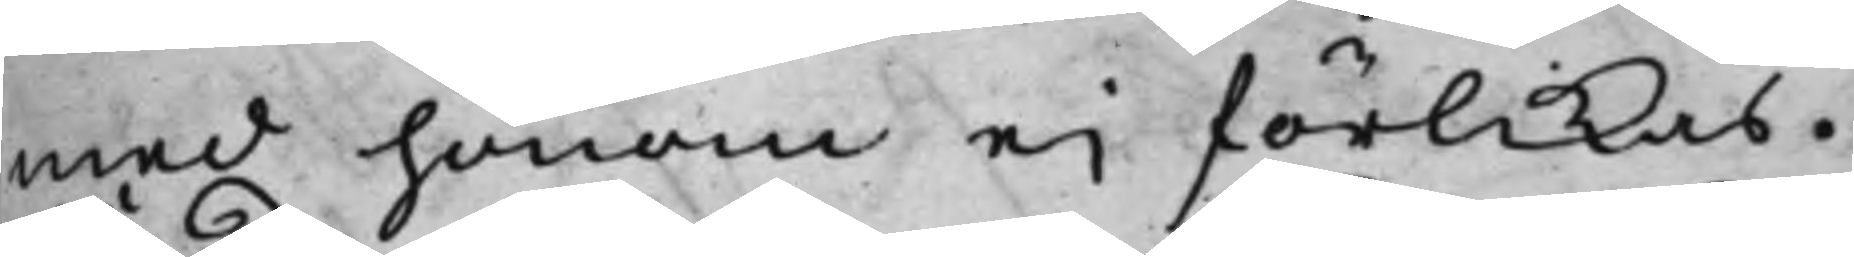med honom eij förlikas.
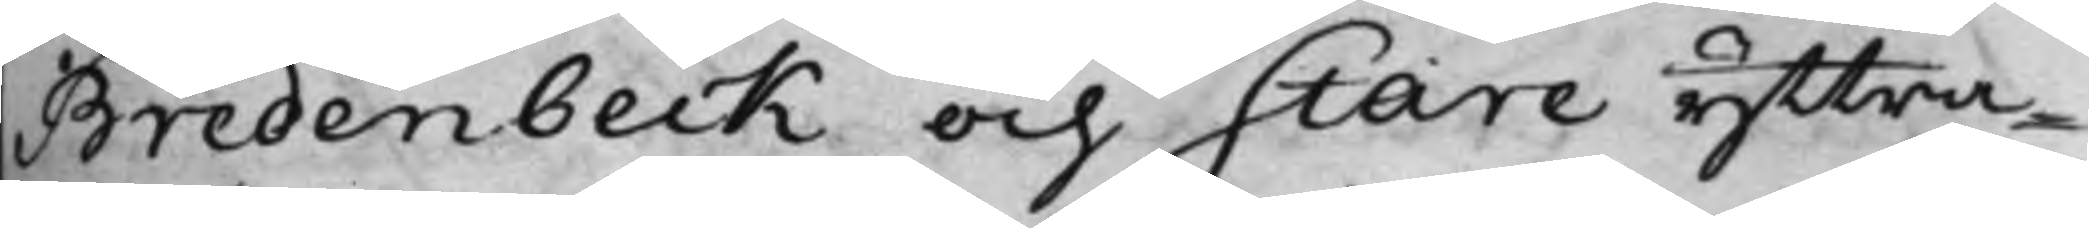Bredenbeck och Stare yttra¬
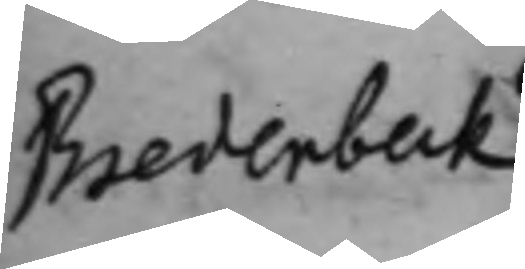Bredenbeck S. d: Uti referentsaken emellan Re¬ 
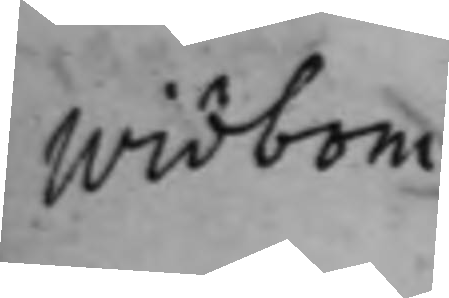Widbom
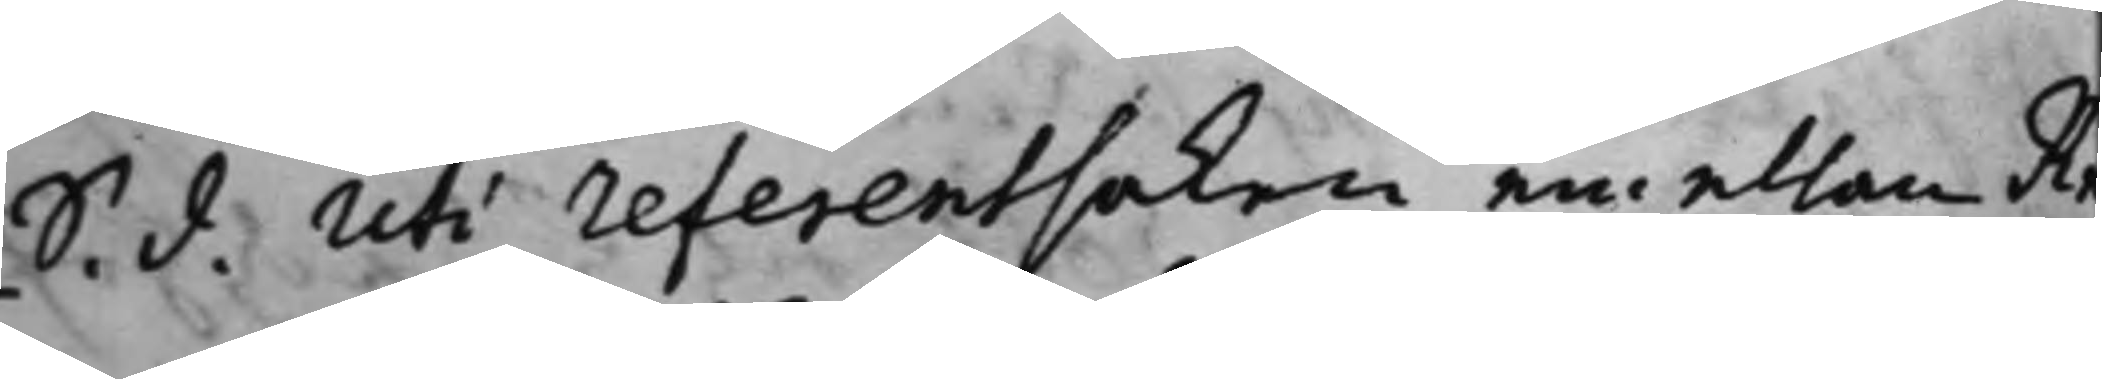Bredenbeck S. d: Uti referentsaken emellan Re¬ 
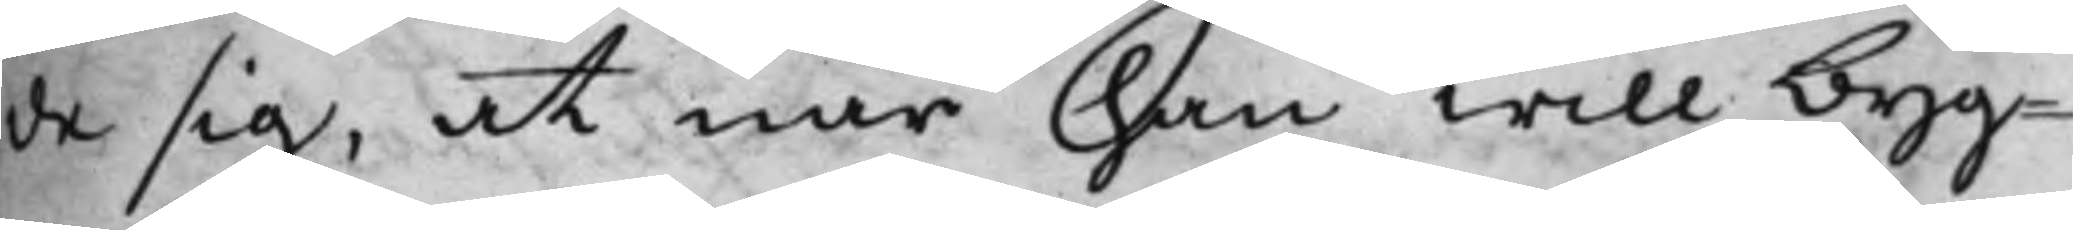de sig, at när han will byg¬
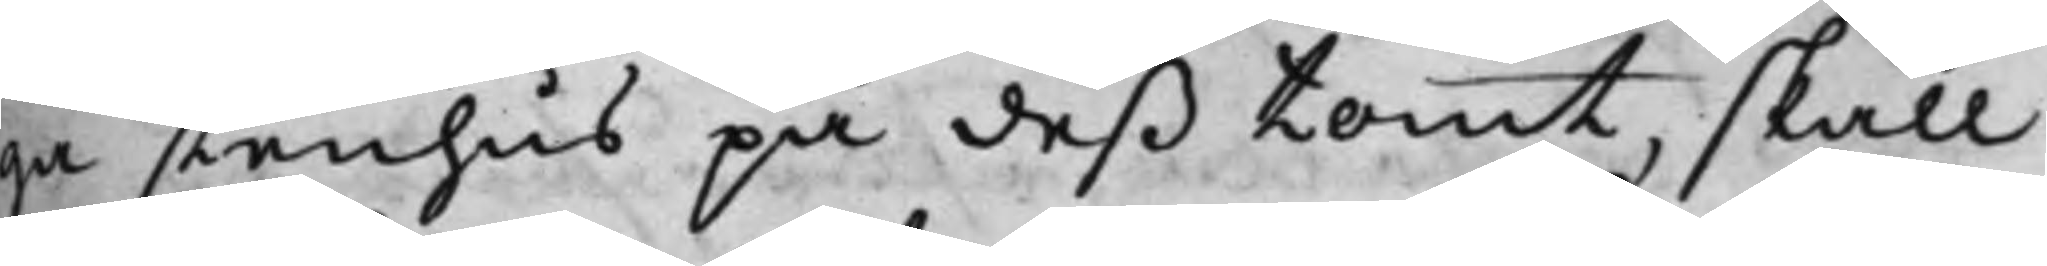ga stenhus på deß tomt, skall
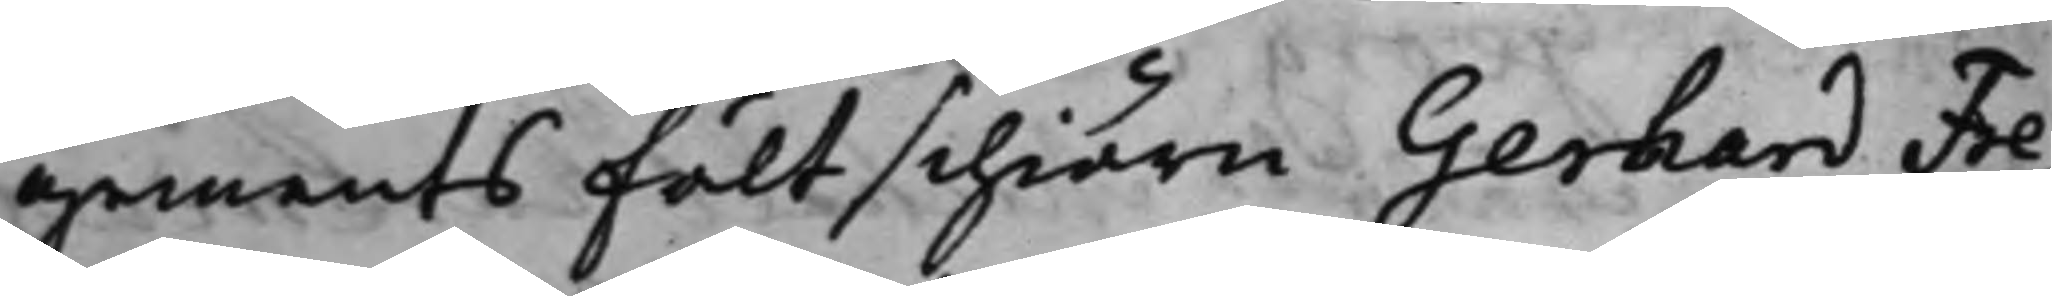gements Fältschiärn Gerhard Fre¬
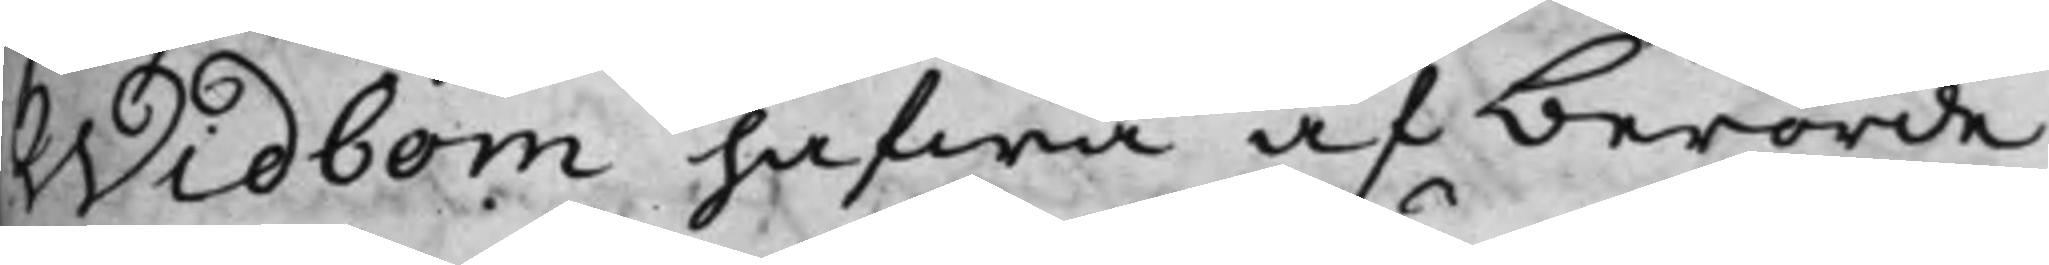Widbom hafwa af berörde
